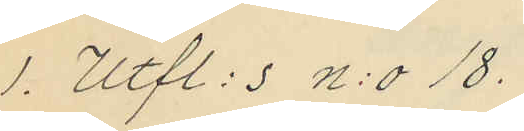1. Utfl:s n:o 18.
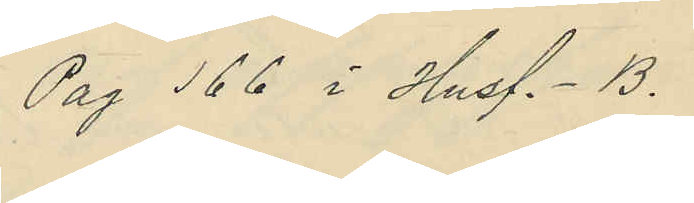Pag 166 i Husf.- B.
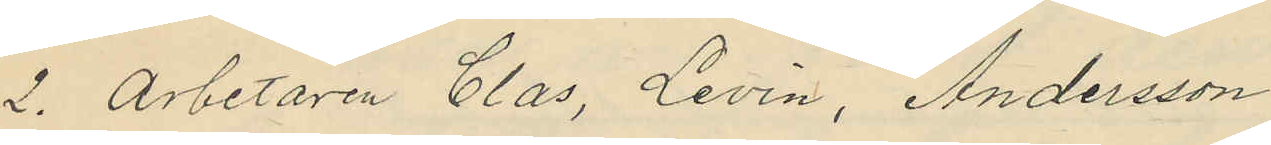2. Arbetaren Clas, Levin, Andersson
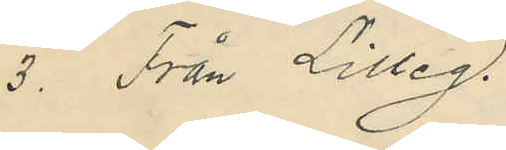3. Från Lilleg.
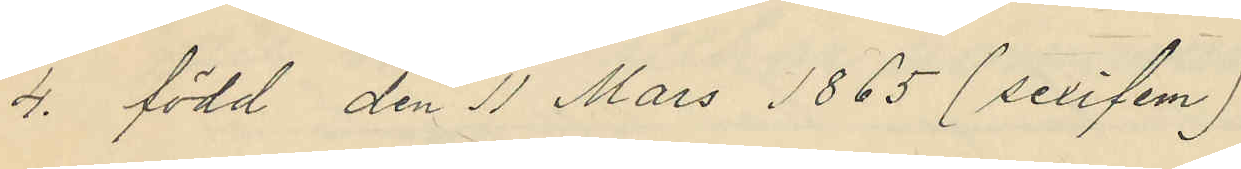4. född den 11 Mars 1865 (sexifem)
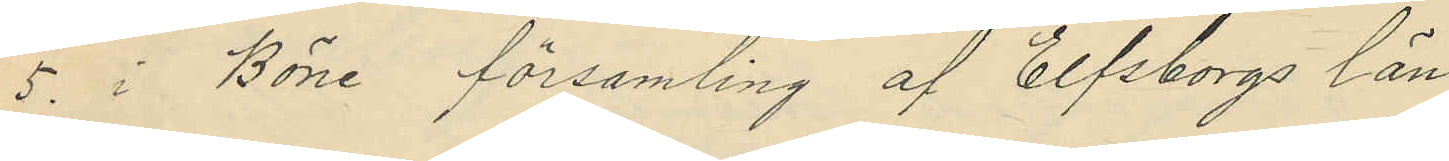5. i Böne församling af Elfsborgs län
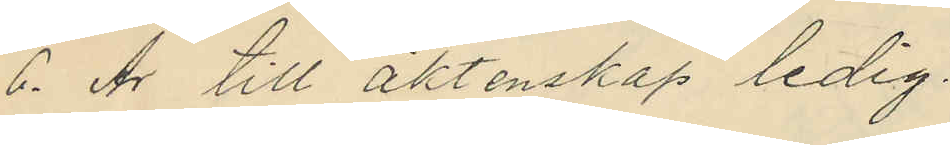6. Är till äktenskap ledig.
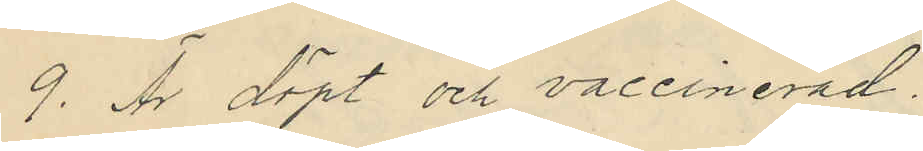9. Är döpt och vaccinerad.
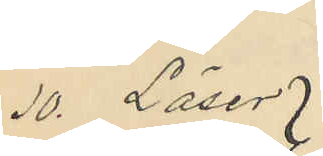10. Läser
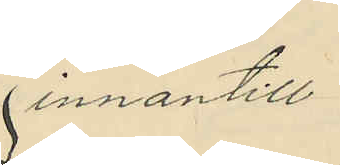innantill
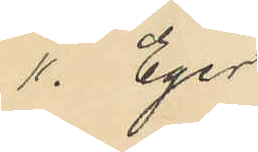11. Eger
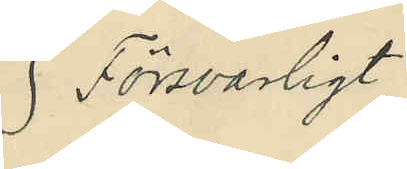Försvarligt
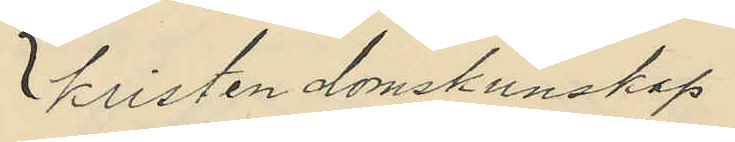kristendomskunskap
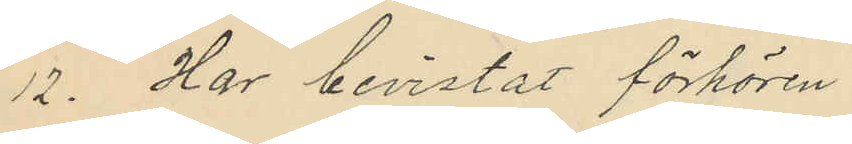12. Har bevistat förhören
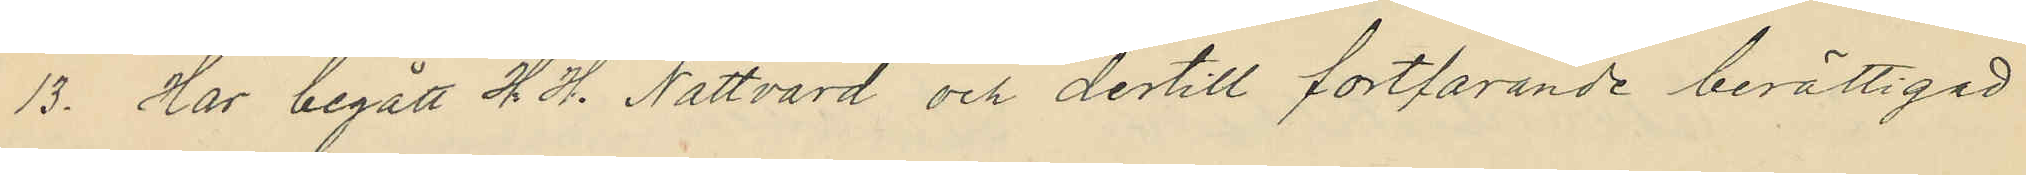13. Har begått H H. Nattvard och dertill fortfarande berättigad
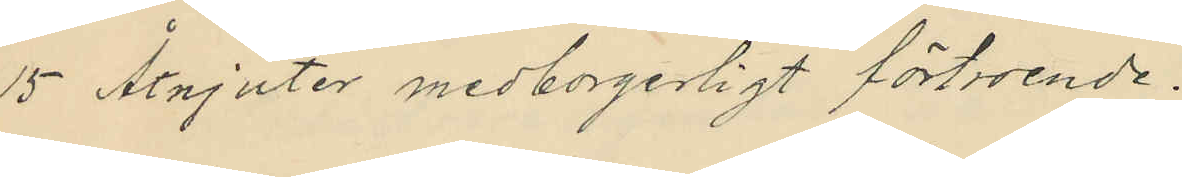15. Åtnjuter medborgerligt förtroende.
